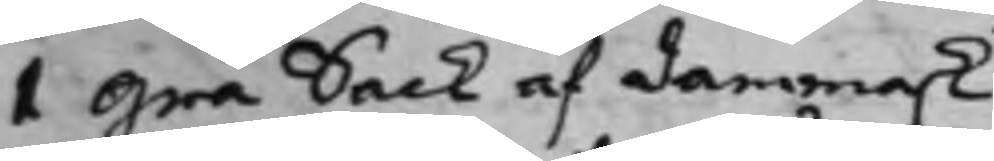1 Grå Sack af dammask.
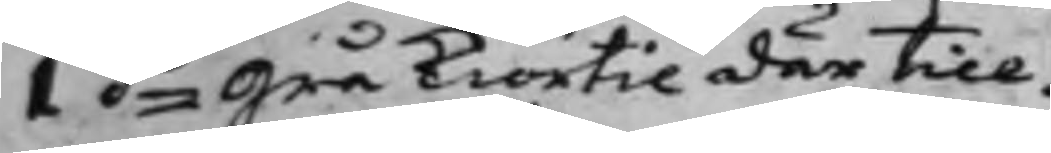1 do Grå Kiortil där till.
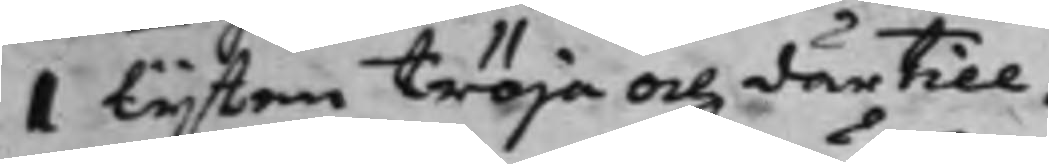I Lijten tröja och därtill.
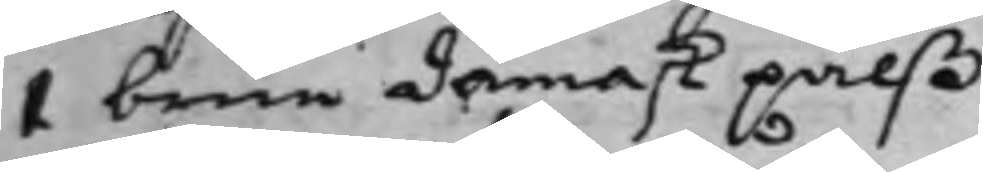1 brun damask pälß.
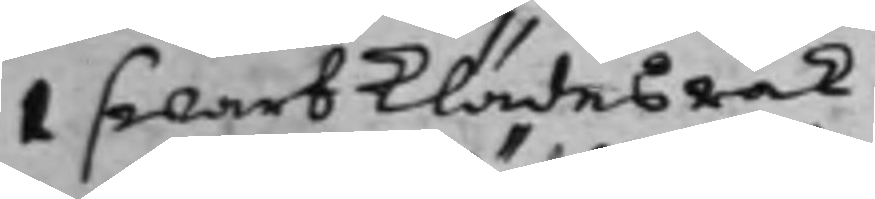1 swart Klädes råk.
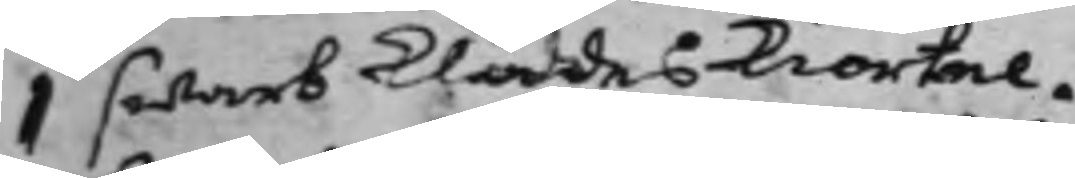1 swart Klädes Kiortel.
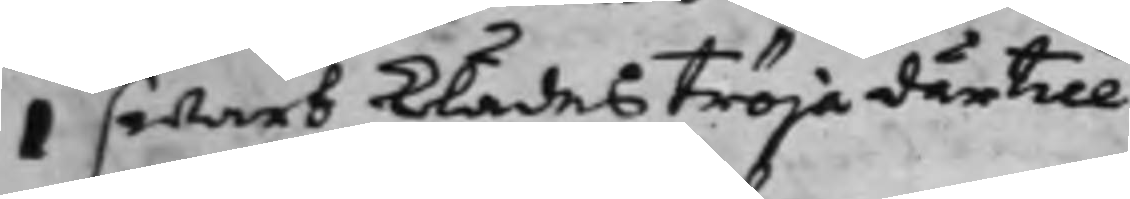1 swart Klädes tröja därtill
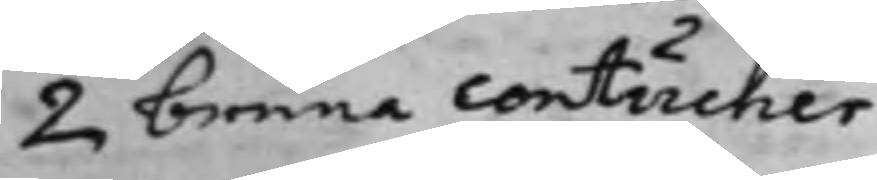2 bruna Contucher
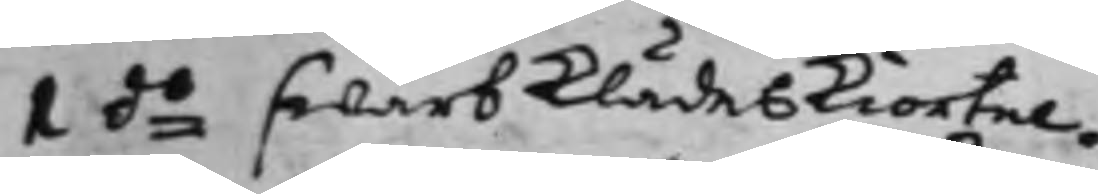1 do swart Klädes Kiortel.
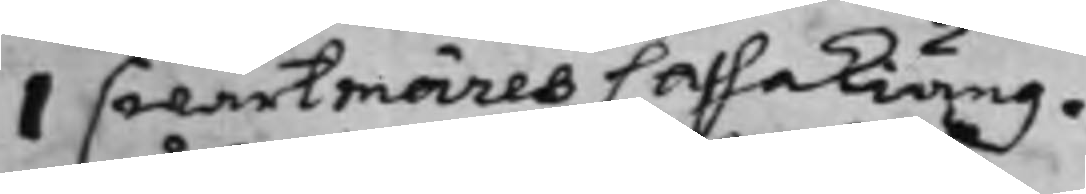1 swartmäres Caffakiäng.
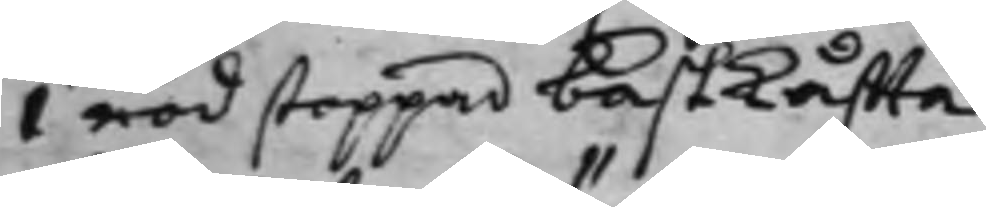1 röd stoppad bastKåffta.
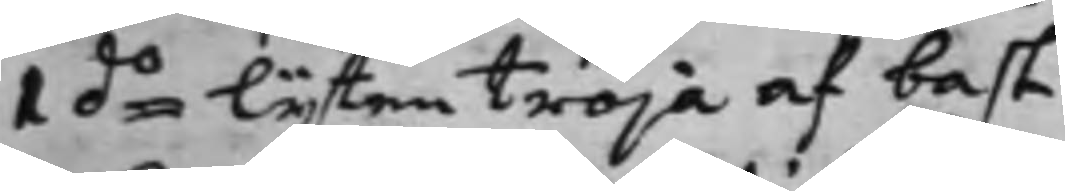1 do lijten tröja af bast.
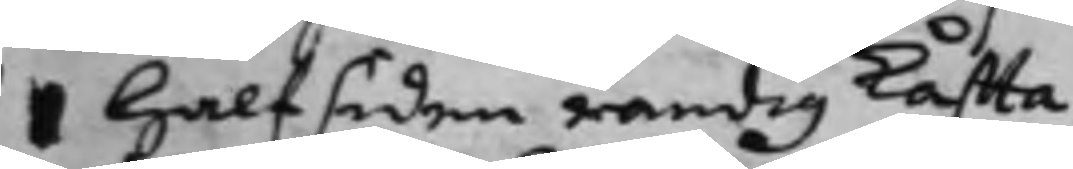1 Halfsiden randig Kåffta
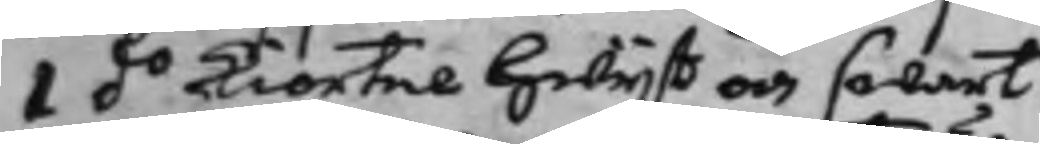1 do Kiortel Hwijt och swart.
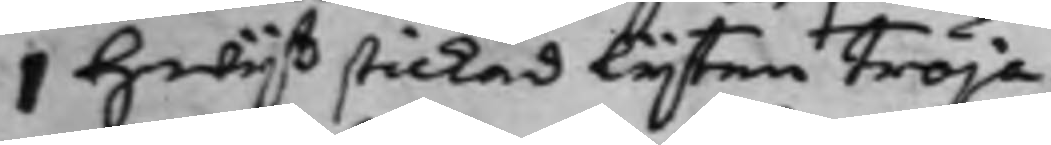1 hwijt stickad lijten tröja.
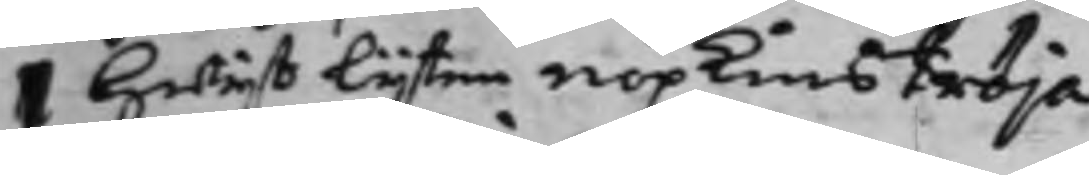1 Hwijt lijten nopkinströja.
